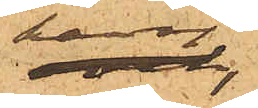kavaj
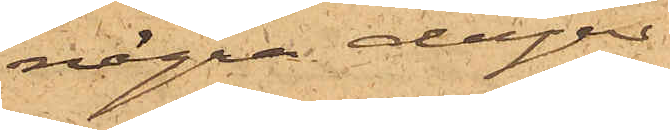några dagar
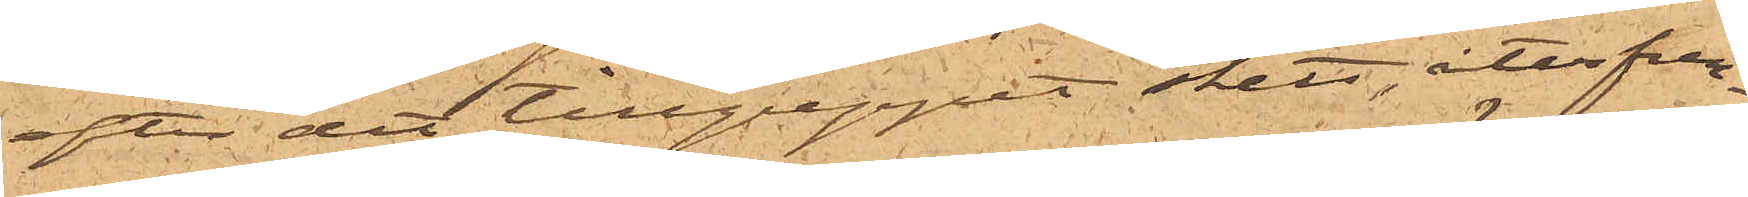efter det tillgreppet skett, återfun¬
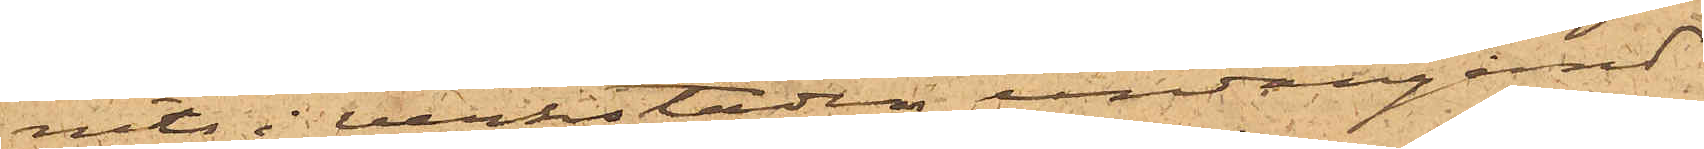nits i verkstaden undangömd
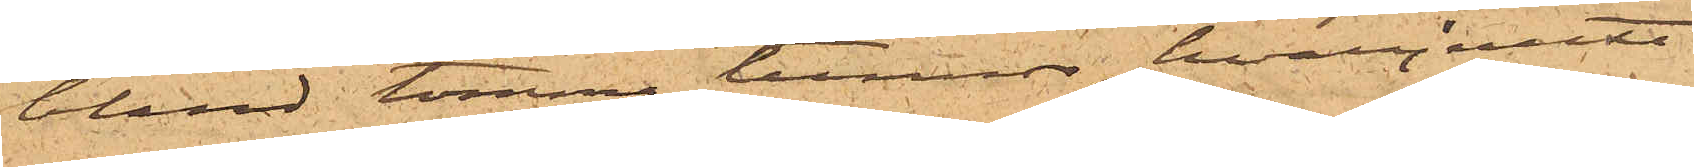bland tomma tunnor, hvarjemte
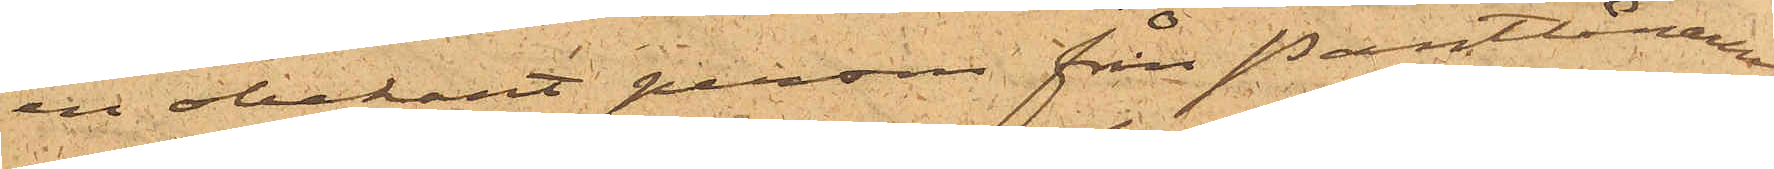en obekant person från Pantlånaren
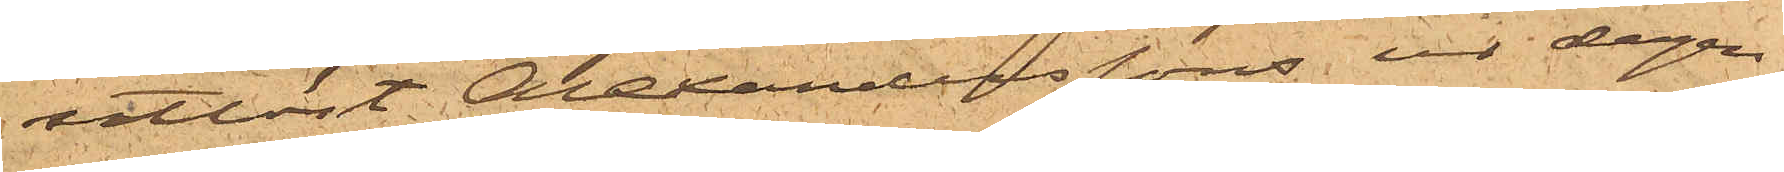utlöst Alexanderssons ur dagen
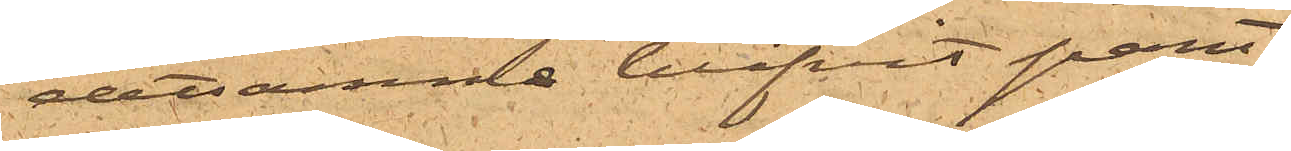detsamma blifvit pant¬
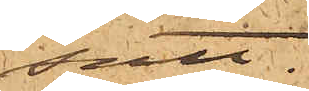satt.
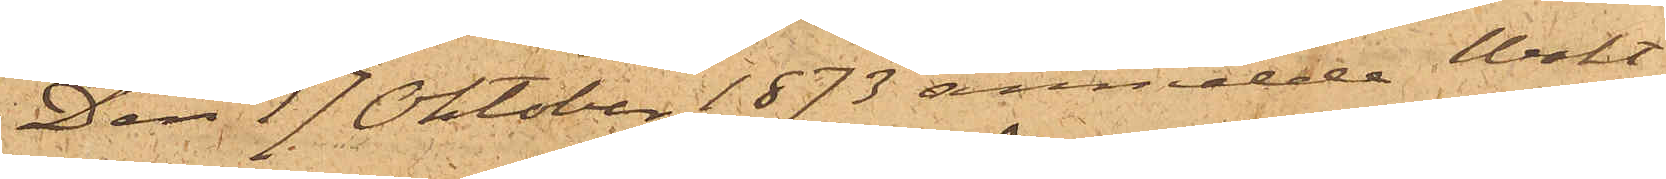Den 17 Oktober 1873 anmälde Wakt¬
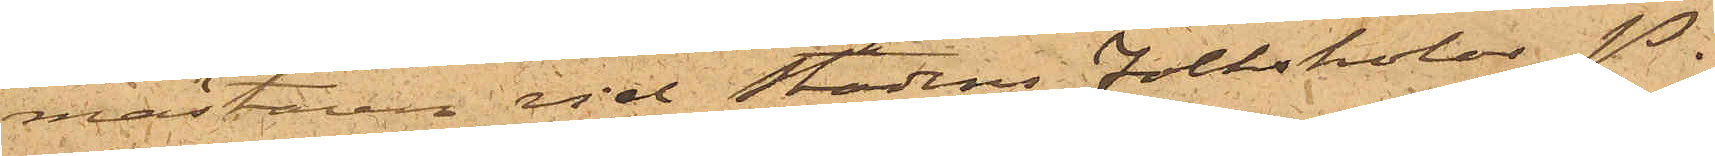mästaren vid Stadens Folkskolor P.
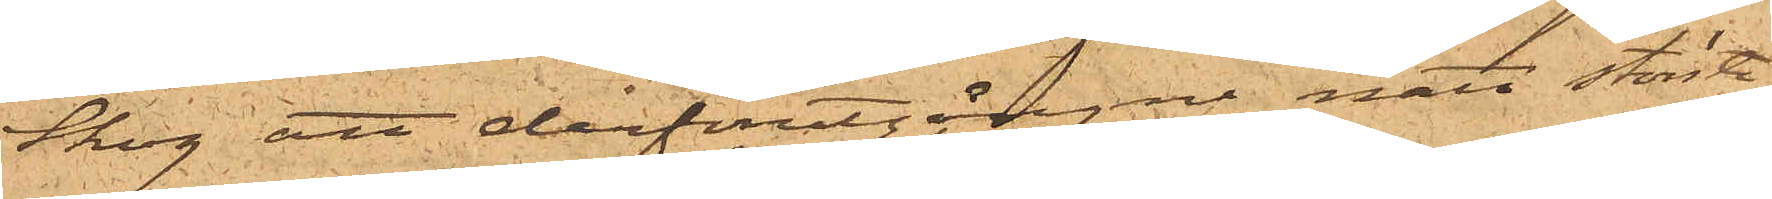Skog att derförutgångne natt större
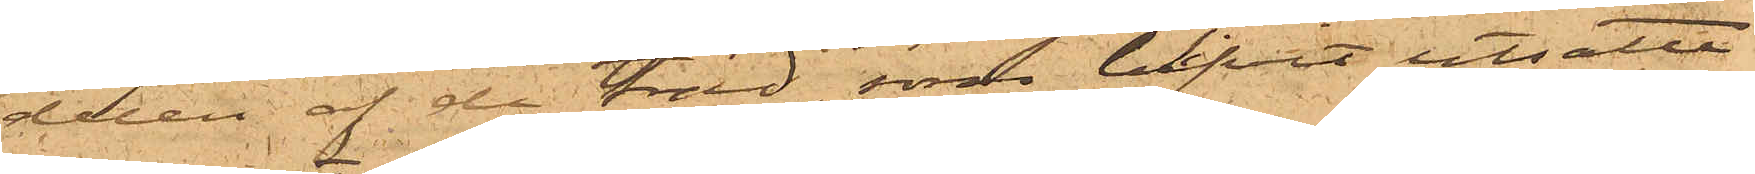delen af de träd, som blifvit utsatta
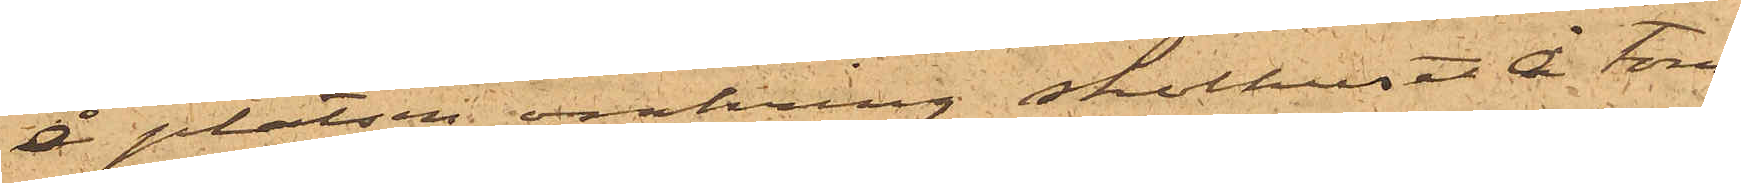å platsen omkring skolhuset å tom¬
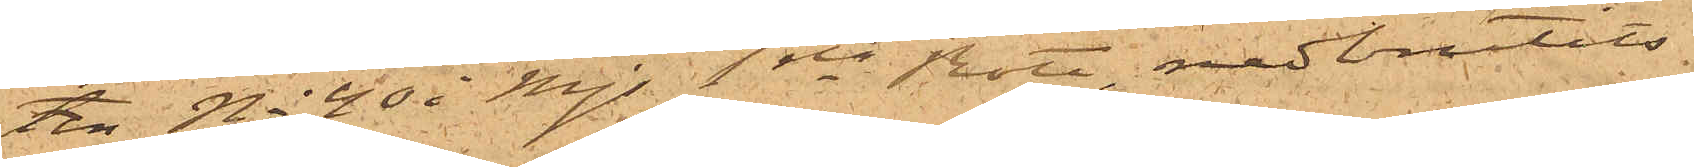ten No 40 i Mjs 1ste Rote, nedbrutits.
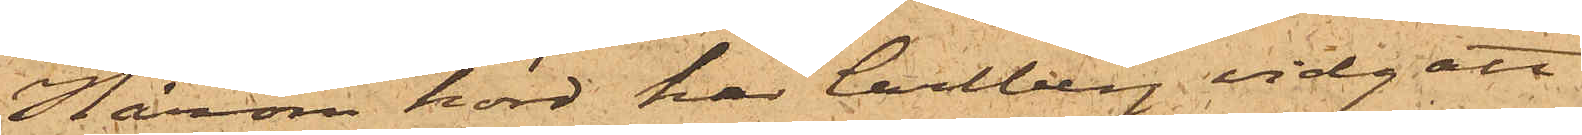Härom hörd har Carlberg vidgått
